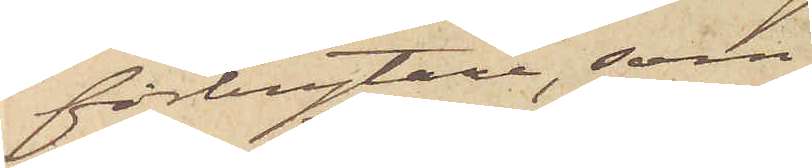förbrytare, som
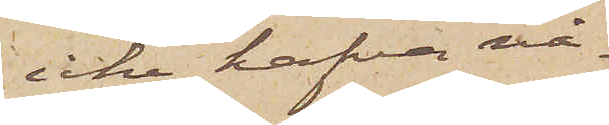icke hafva nå¬
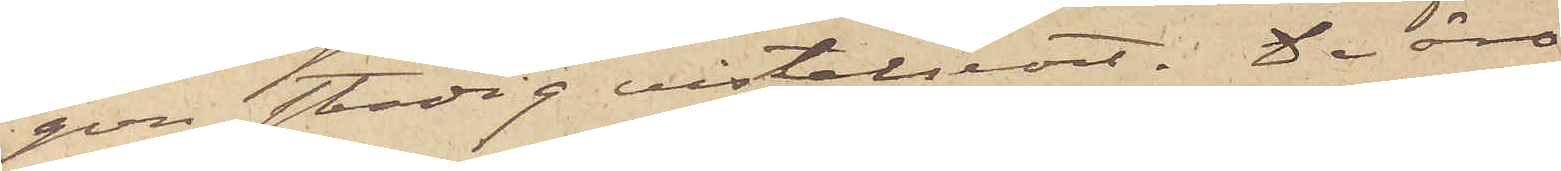gon stadig vistelseort. De äro
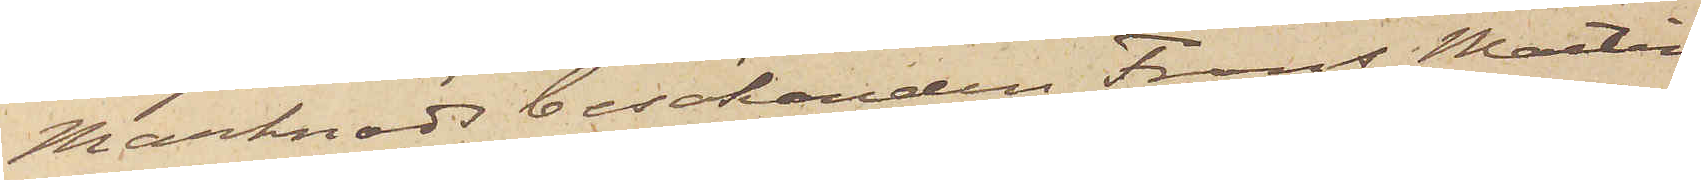Marknadsbesökanden Frans Martin
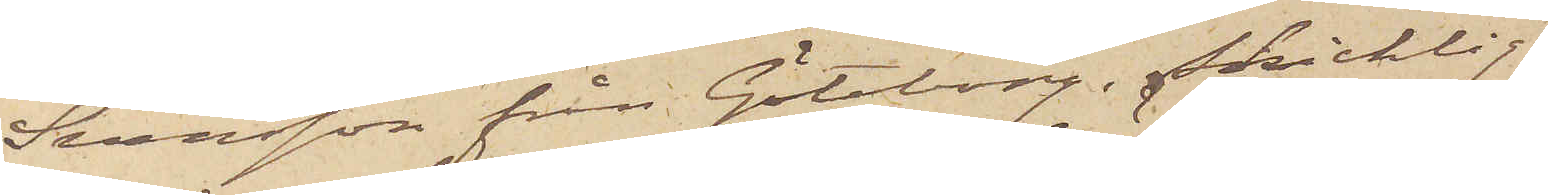Svensson från Göteborg, skicklig
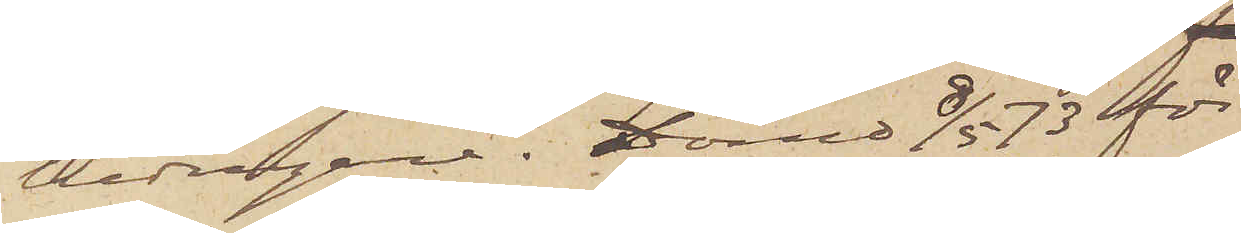bedragare. Dömd 1873 för
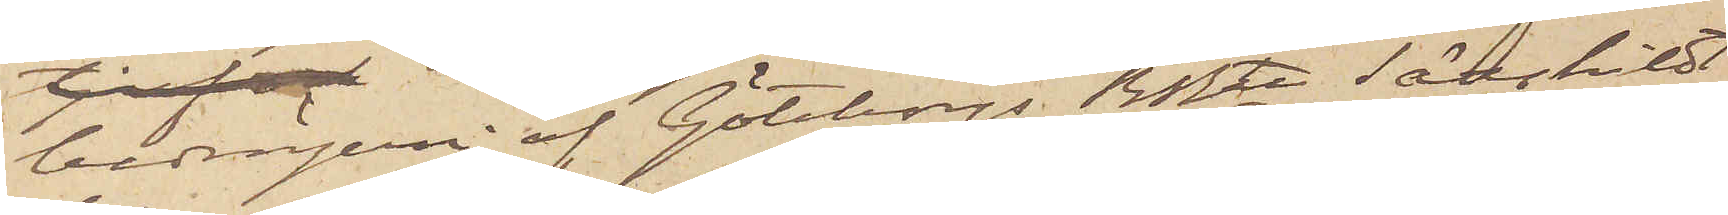bedrägeri af Göteborgs RRtt Särskildt
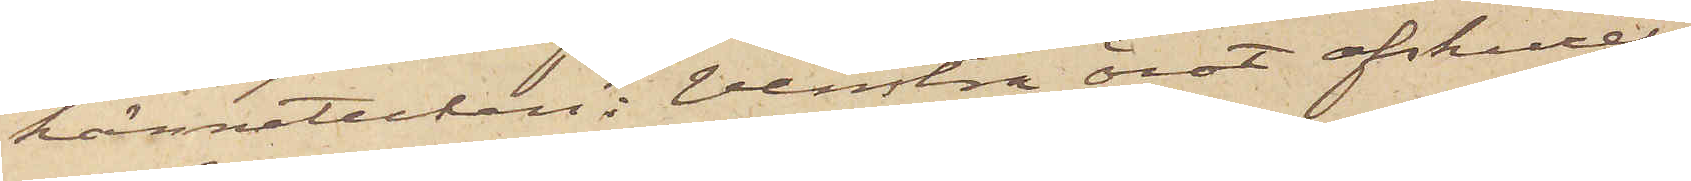kännetecken: Venstra örat afskuret.
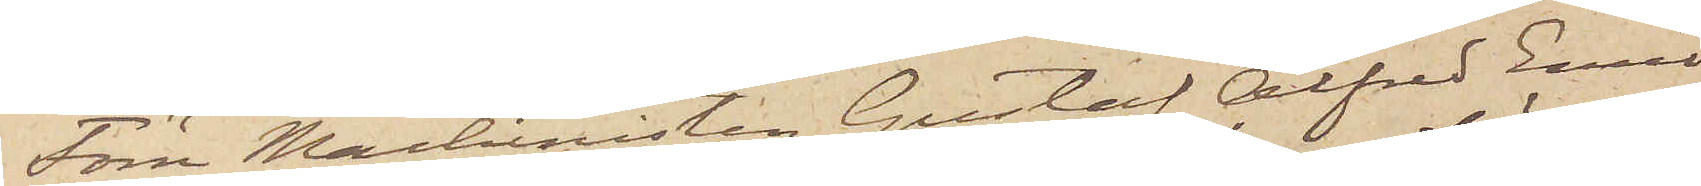Förre Machinisten Gustaf Alfred Emil
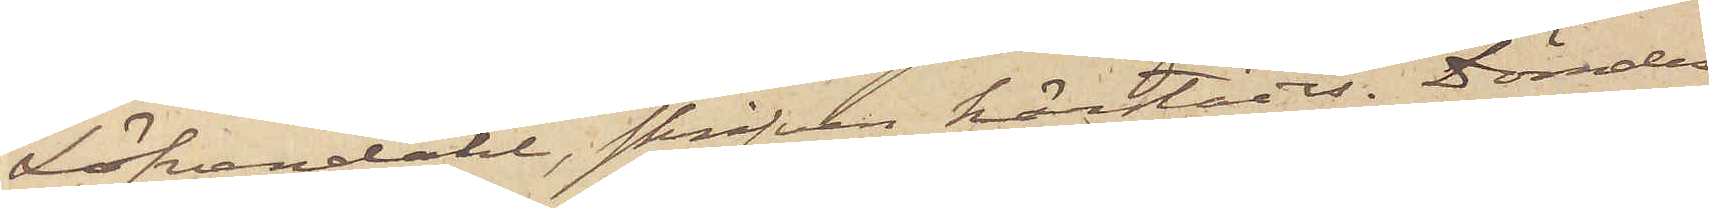Löfvendahl, skrifven härstädes. Dömdes
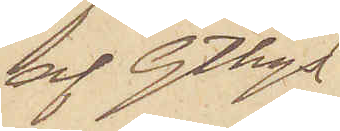af Gtbgs
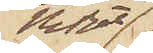RRtt
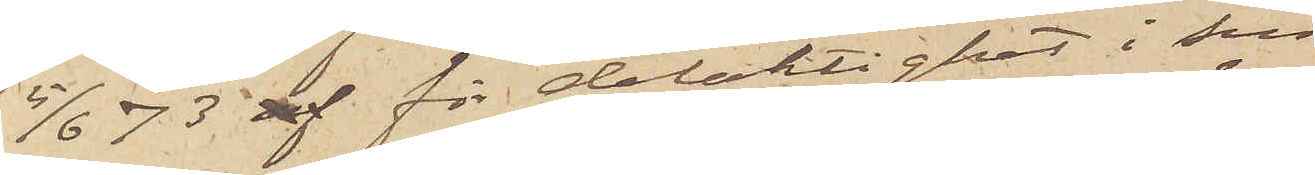5/6 73 af för delaktighet i sin
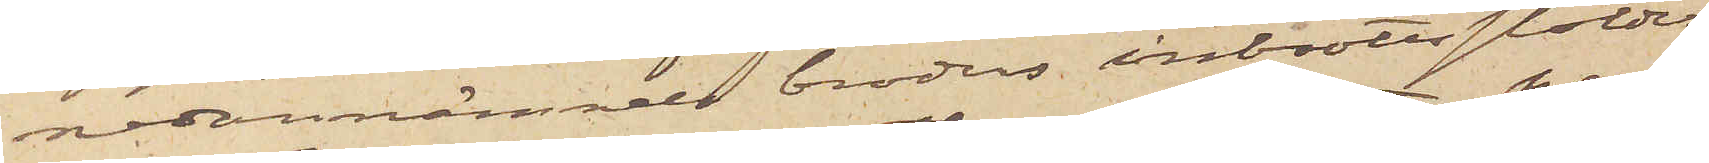nedannämnde broders inbrottsstölder
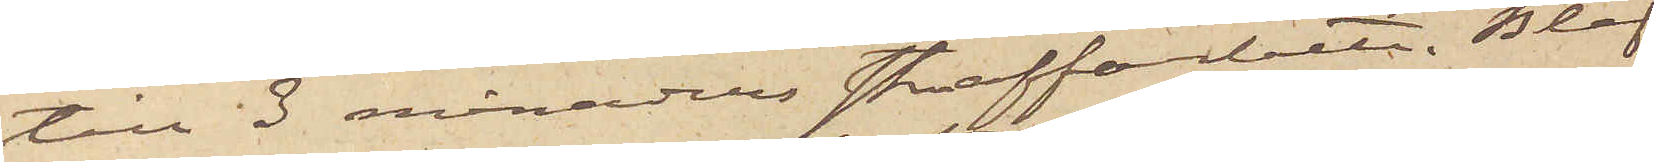till 3 månaders straffarbete. Blef
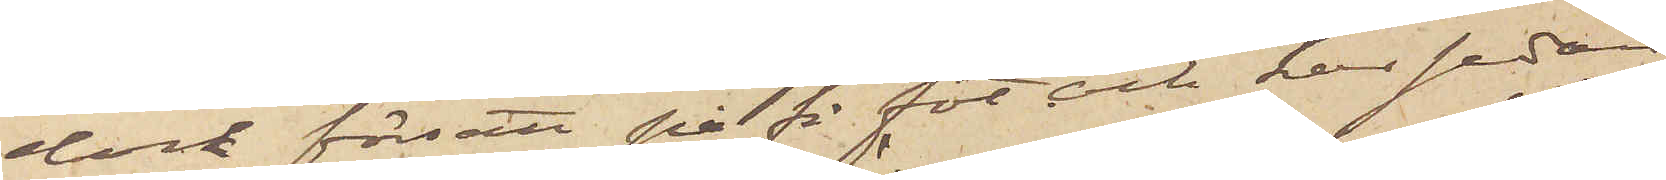dock försatt på fri fot och har sedan
